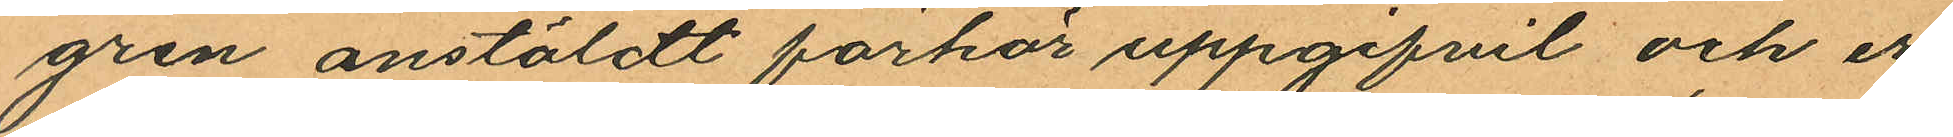gren anstäldt förhör uppgifvit och er¬
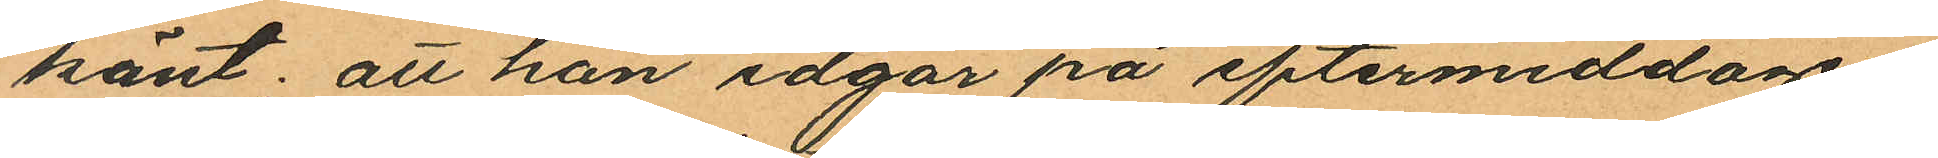känt; att han idgår på eftermiddagen
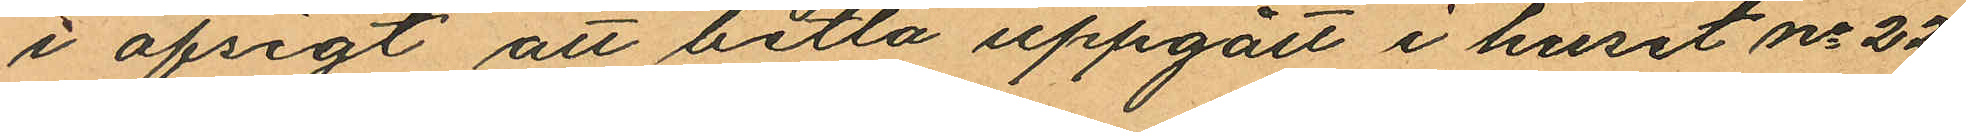i afsigt att betla uppgått i huset No 22
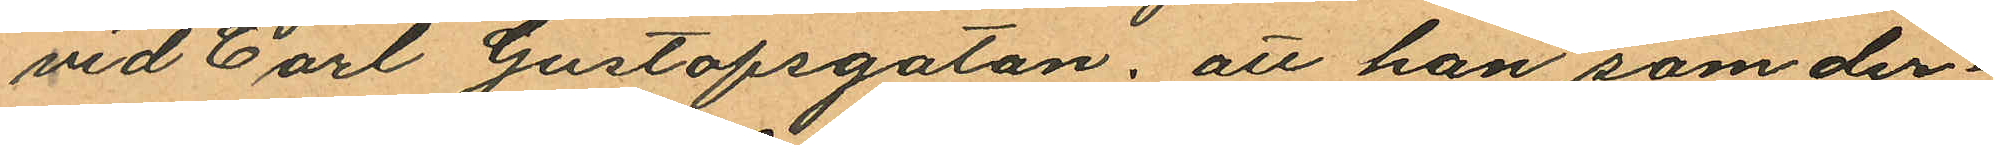vid Carl Gustafsgatan; att han, som der¬
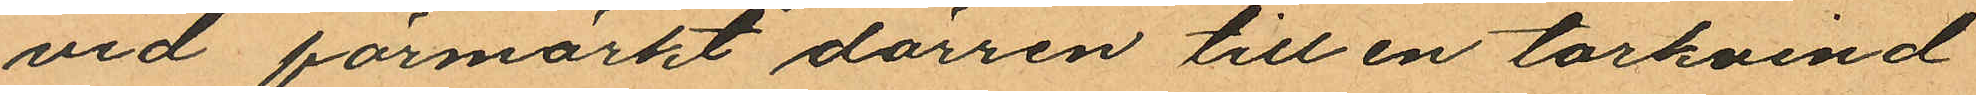vid förmärkt dörren till en torkvind
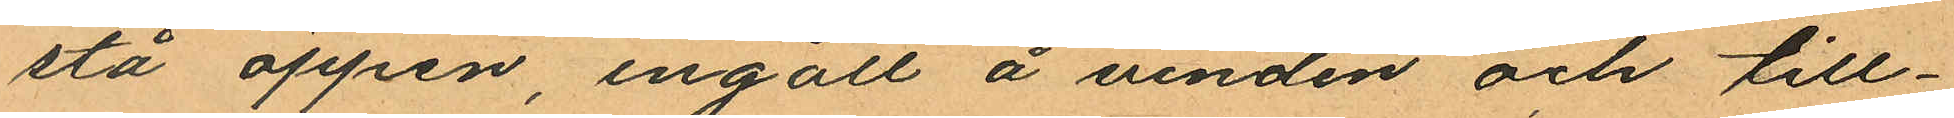stå öppen, ingått å vinden och till¬
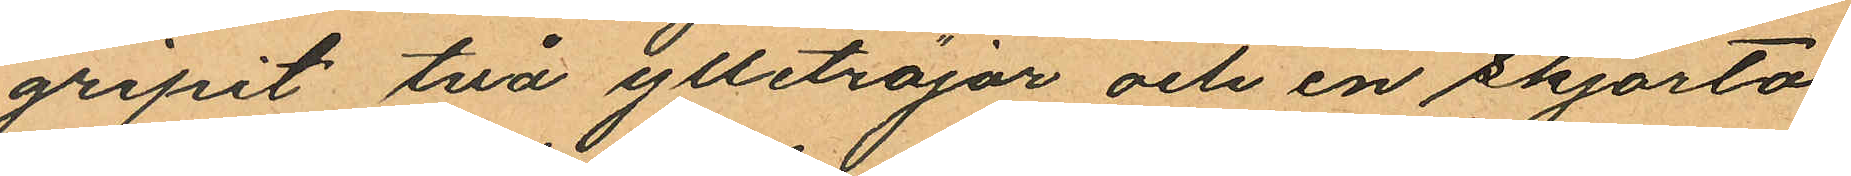gripit två ylletröjor och en skjorta
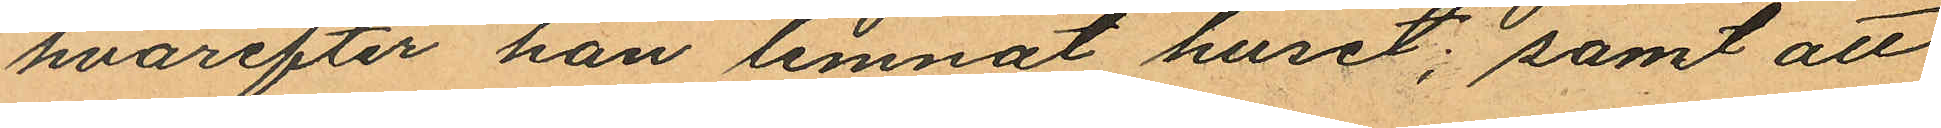hvarefter han lemnat huset; samt att
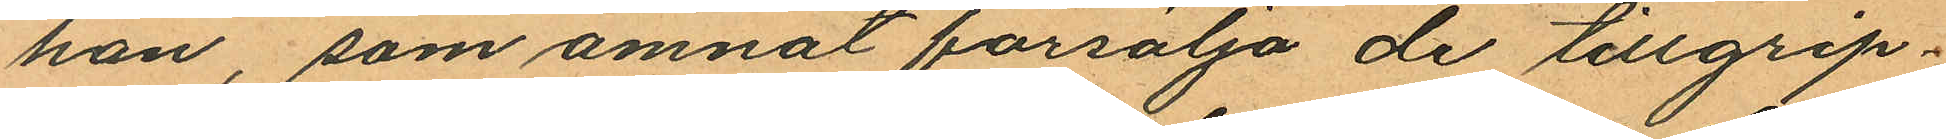han, som ämnat försälja de tillgrip¬
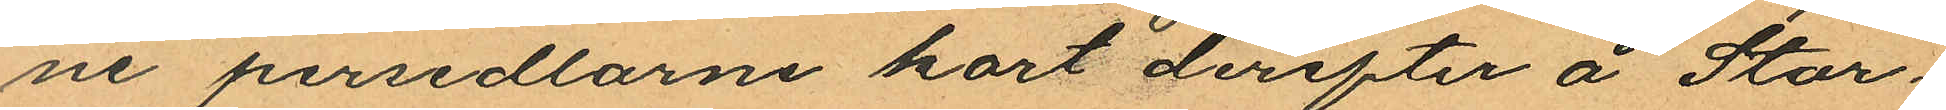ne persedlarne kort derefter å Stor¬
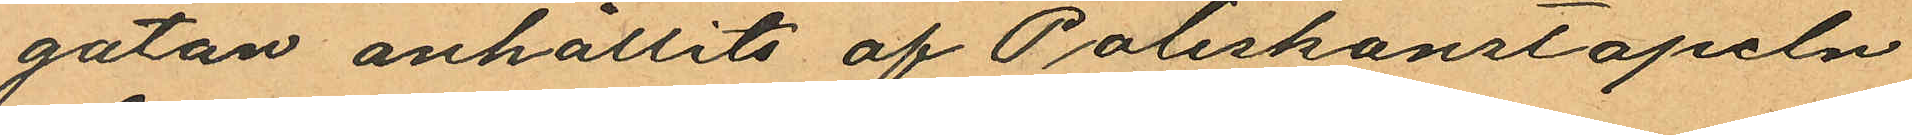gatan anhållits af Poliskonstapeln
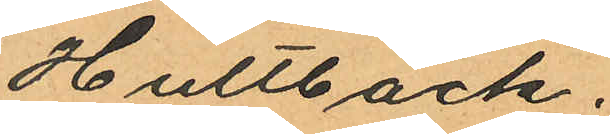Hultbäck.
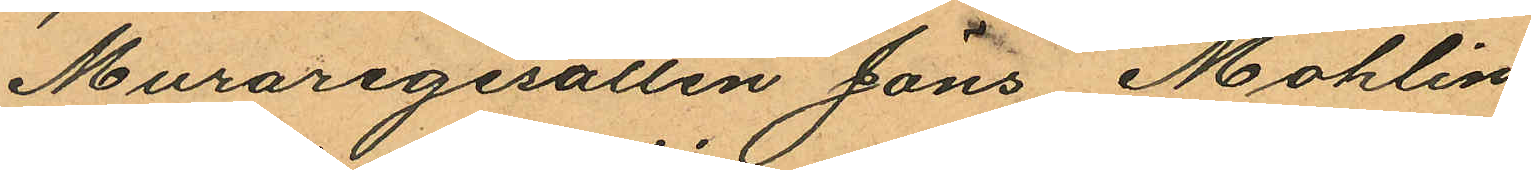Muraregesällen Jöns Mohlin
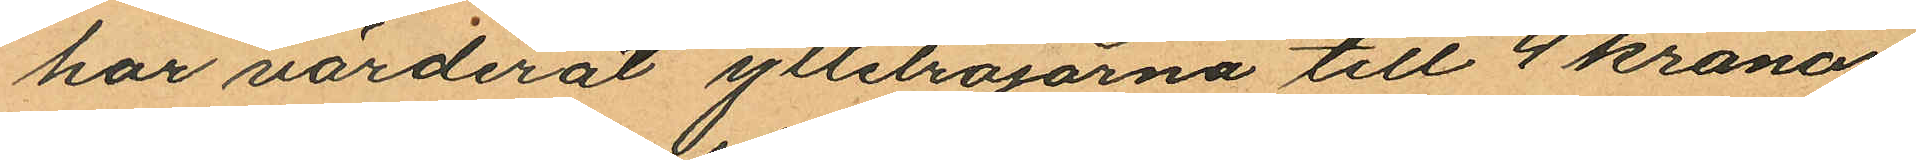har värderat ylletröjorna till 4 kronor
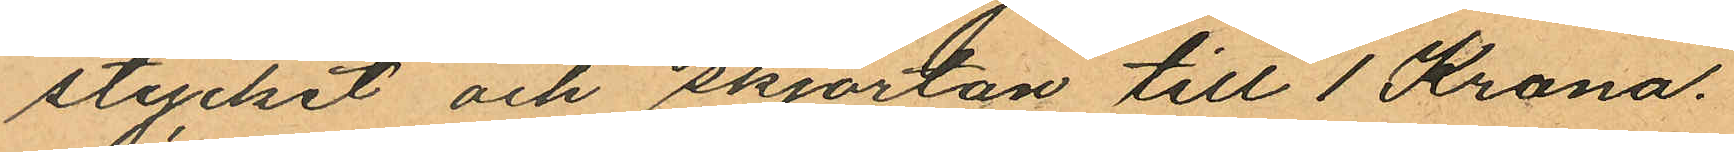stycket och skjortan till 1 Krona.
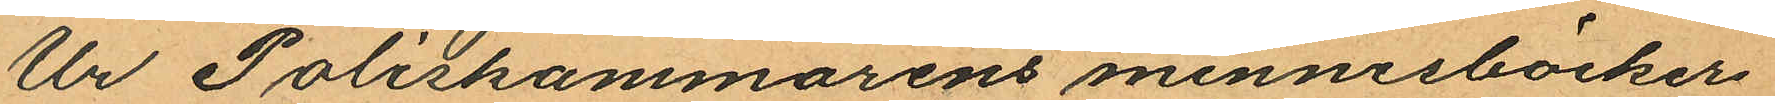Ur Poliskammarens minnesböcker
